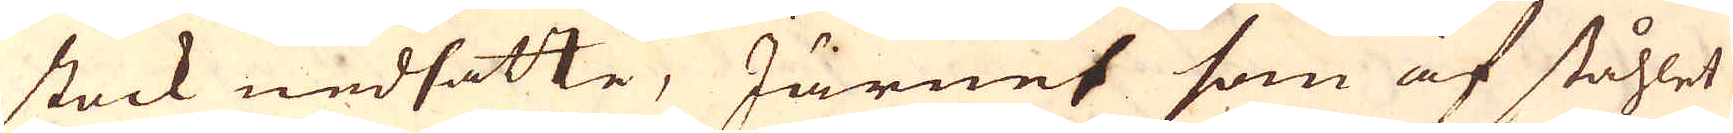stock nedsatte, Järnet som af ståhlet
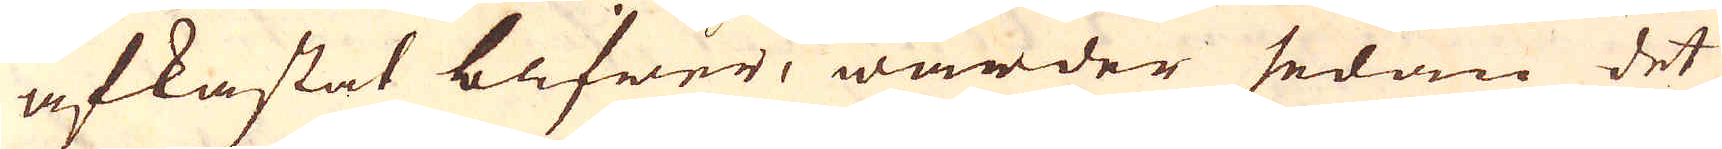afkastat bifwer, warder sedan det
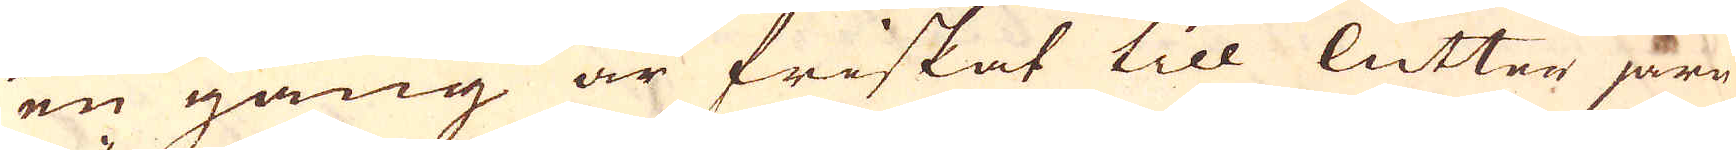en gång är friskat till lutter järn
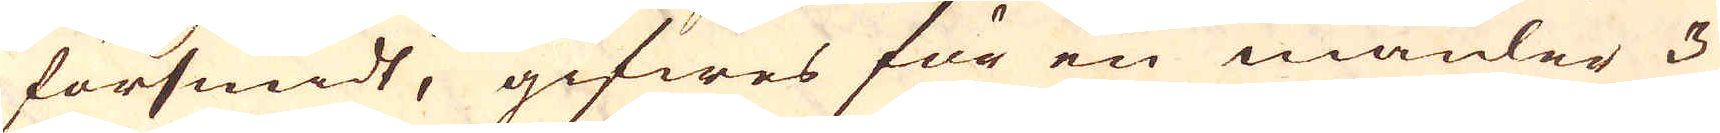försmidt, gifwes för en mäuler 3
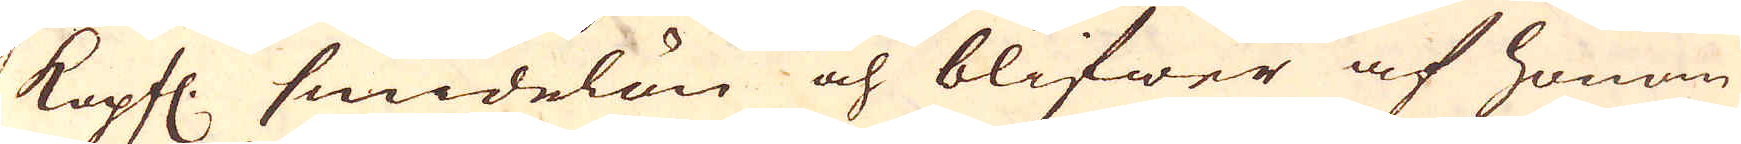Kopfl. smidelön och blifwer af honom
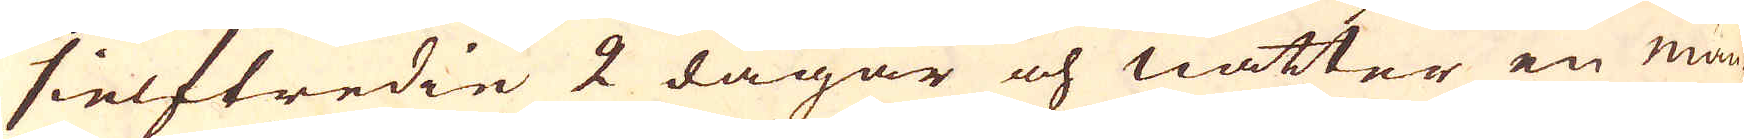sielftredie 2 dagar och nätter en mäu-
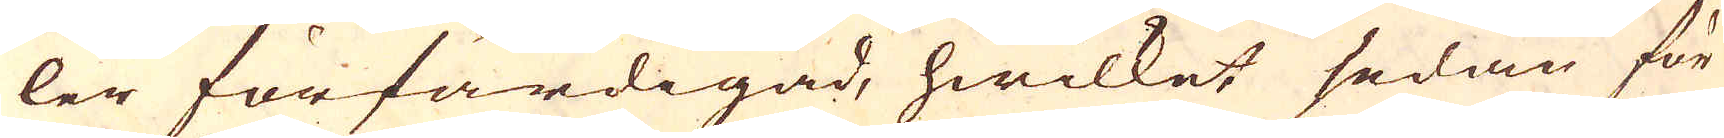ler förfärdigad, hwilket sedan för
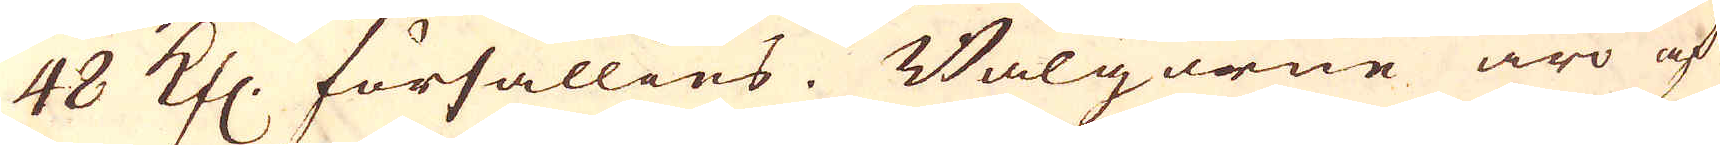48 Kfl. försällies. Bälgarne äro af
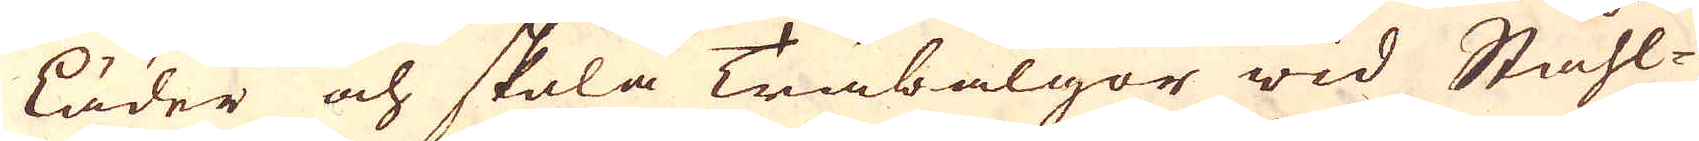läder och skola Träbälgor wid Ståhl-
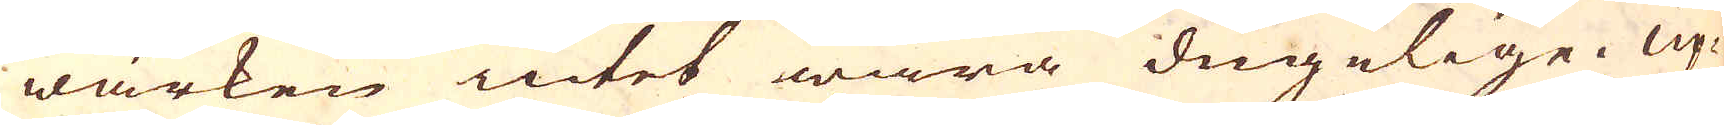wärken intet wara dugelige. Up-
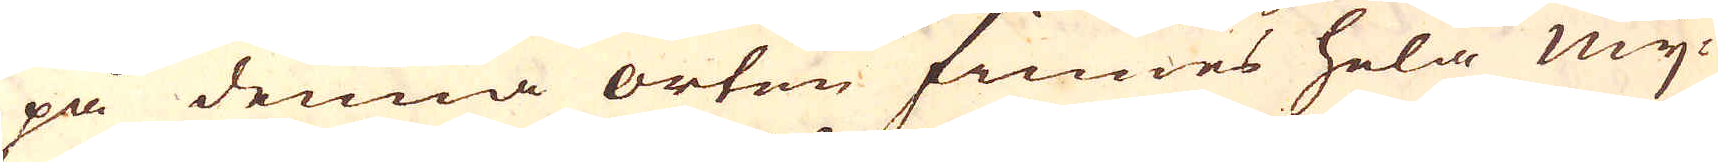på denna orten finnes hela mij-
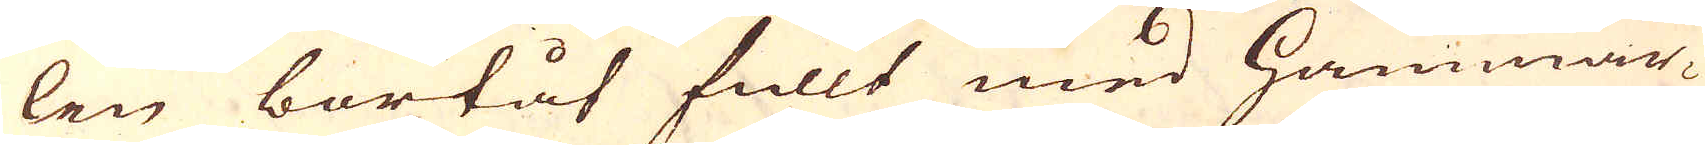len bortåt fullt med Hammar-
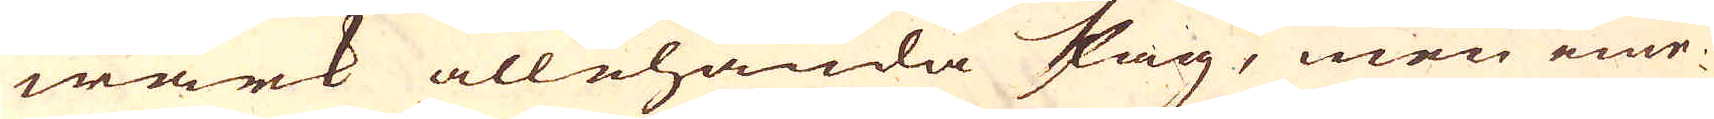wärk allehända slag, men eme-
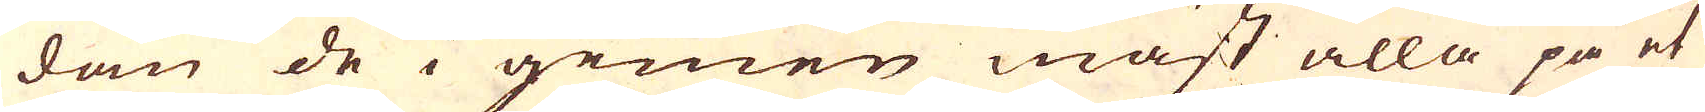dam de i gemen mäst alla på et
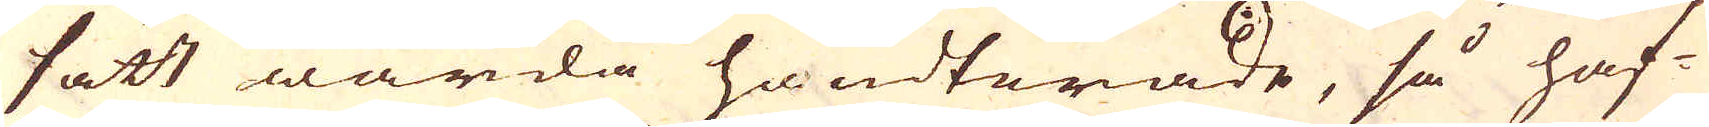sätt warda handterade, så haf-
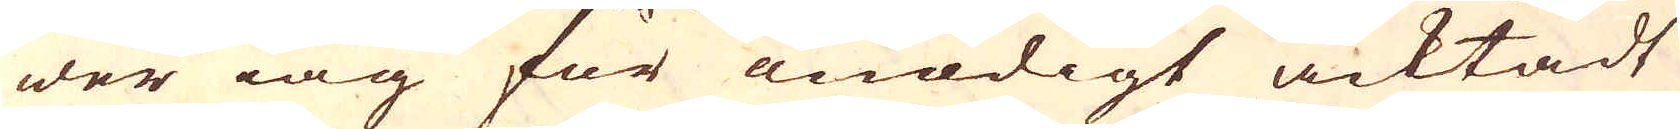wer iag för nödigt acktadt
